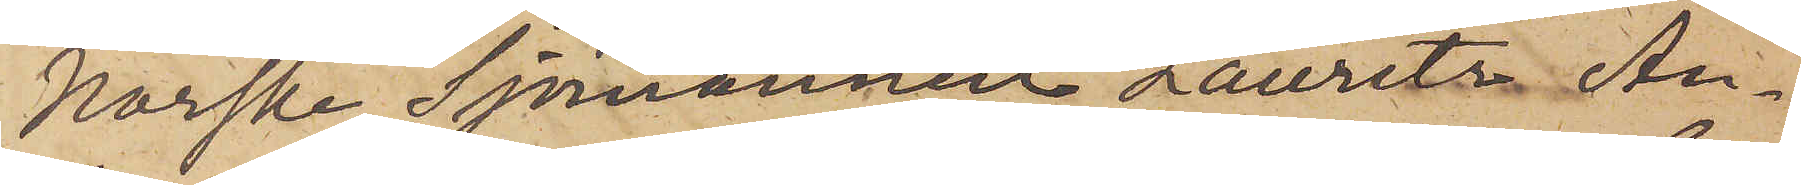Norske Sjömannen Lauritz An¬
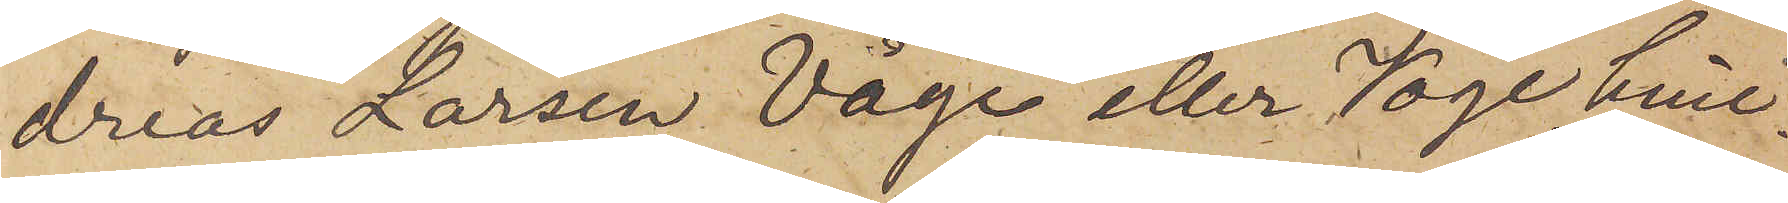dreas Larsen Våge eller Voge, hvil¬
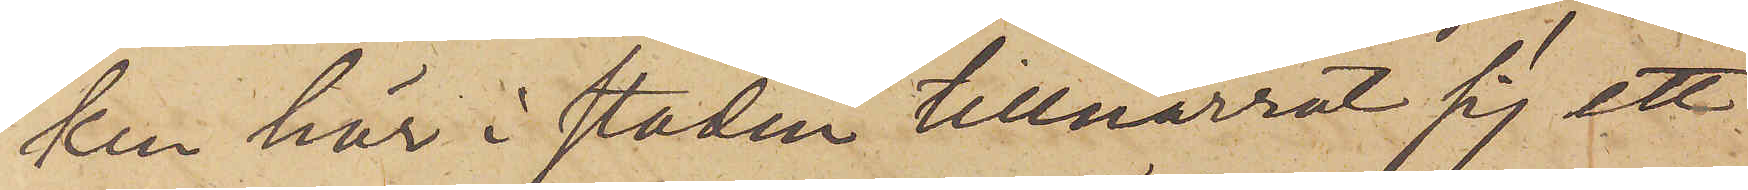ken här i staden tillnarrat sig ett
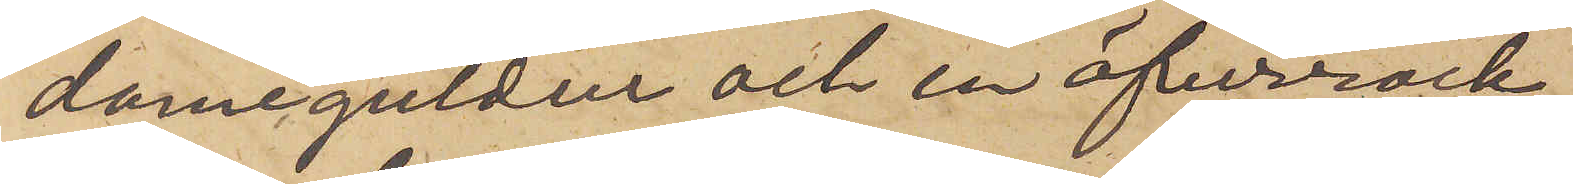dameguldur och en öfverrock,
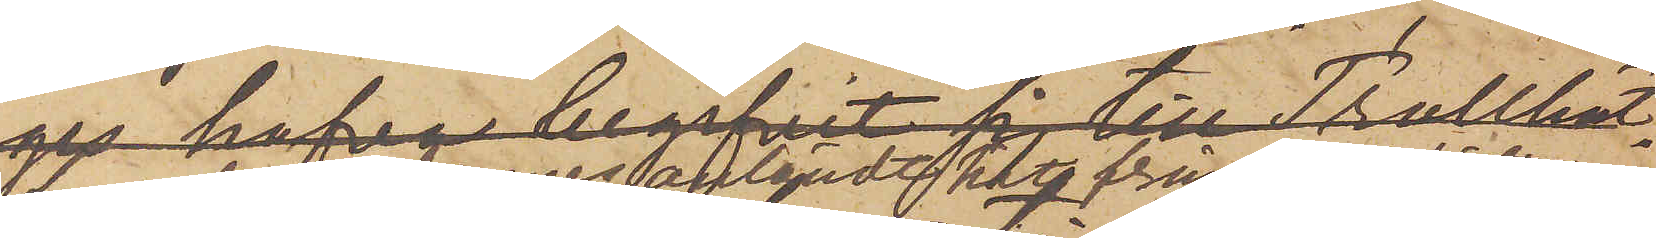har den 13 dennes anländt hit från Trollhättan
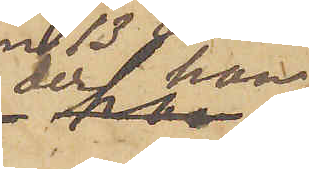der han
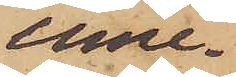inne¬
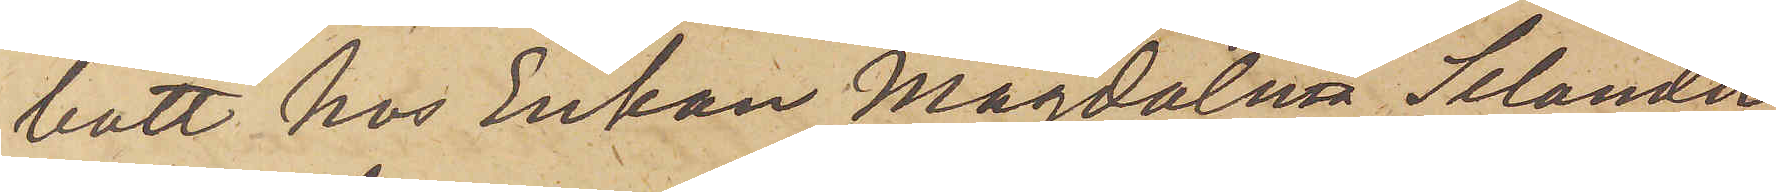bott hos Enkan Magdalena Selander,
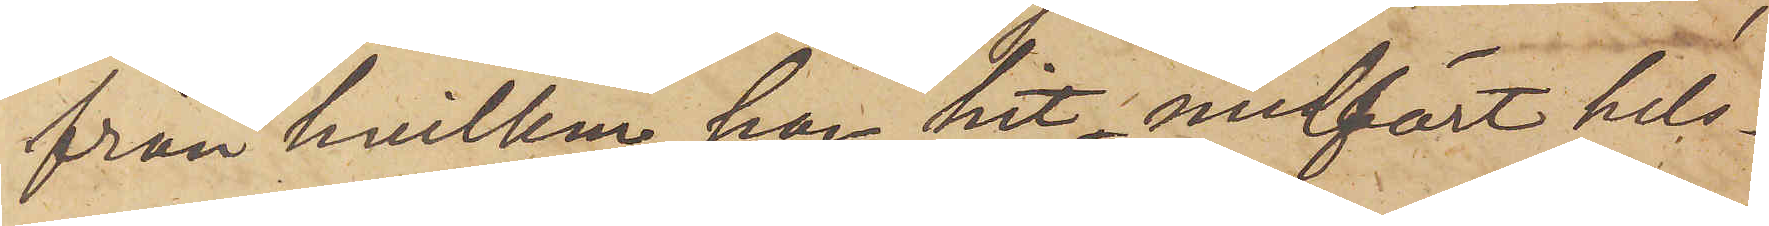från hvilken han hit medfört hels¬
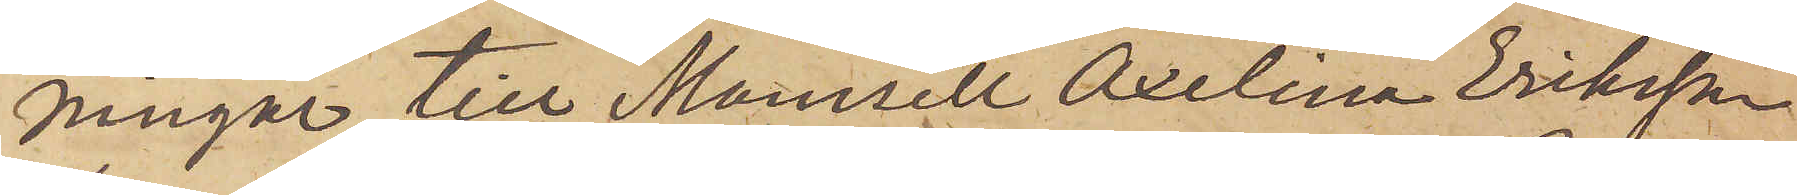ningar till Mamsell Axelina Eriksson
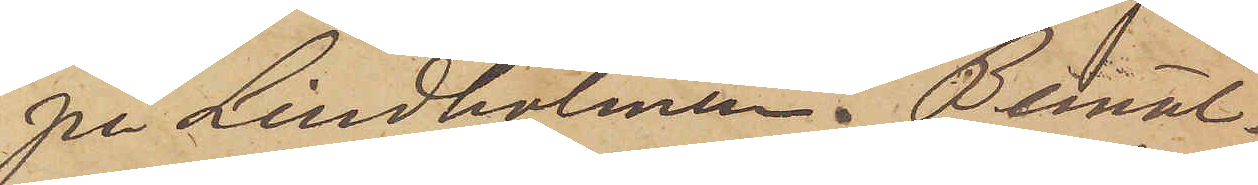på Lindholmen. Bemäl.
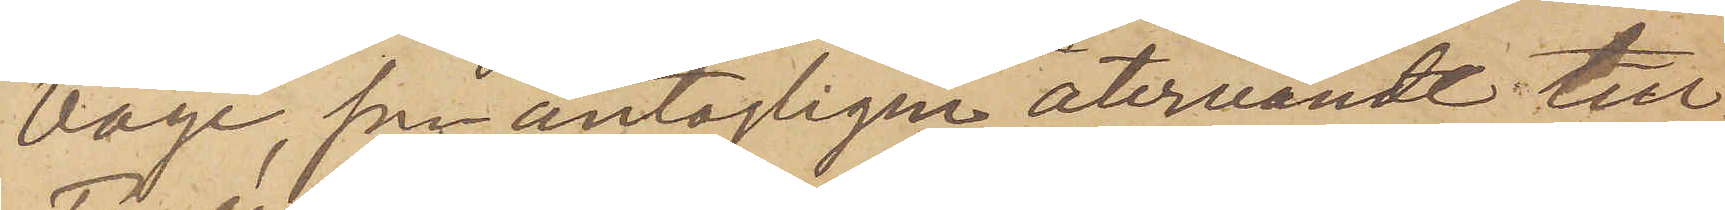Voge, som antagligen återvändt till
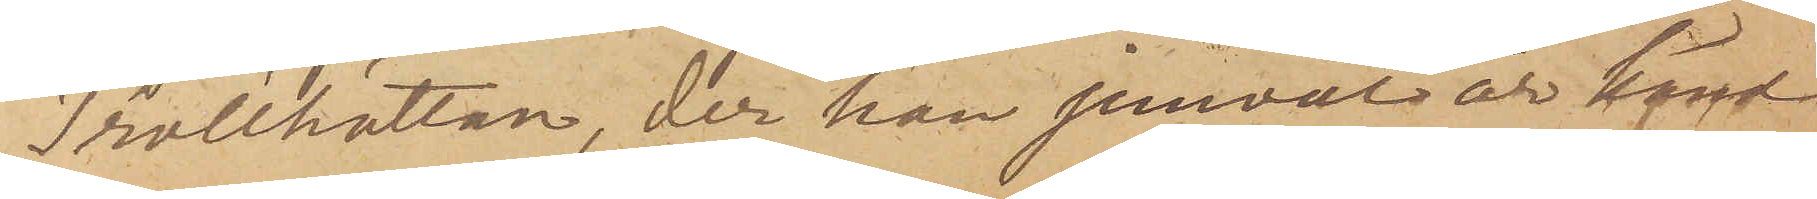Trollhättan, der han jemväl är känd
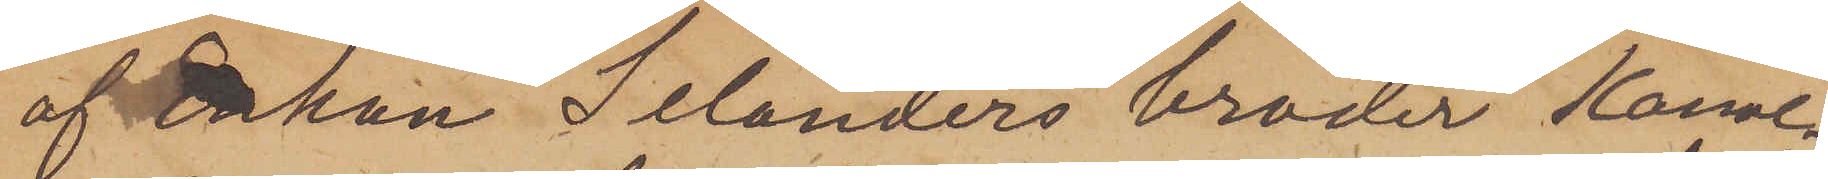af Enkan Selanders broder Kanal¬
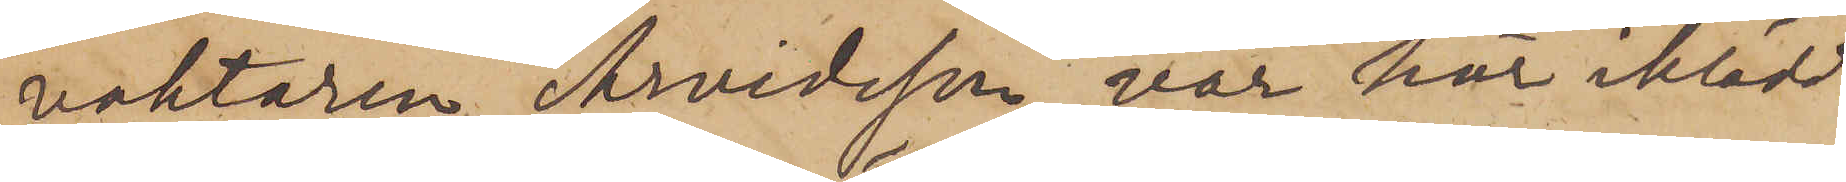vaktaren Arvidsson, var här iklädd
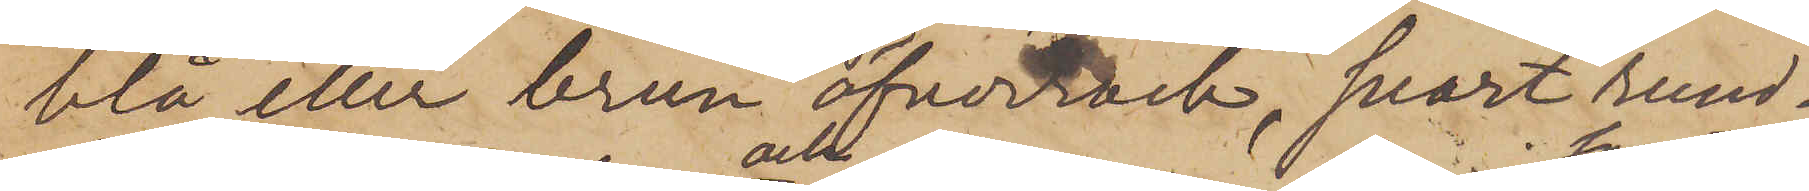blå eller brun öfverrock, svart rund¬
